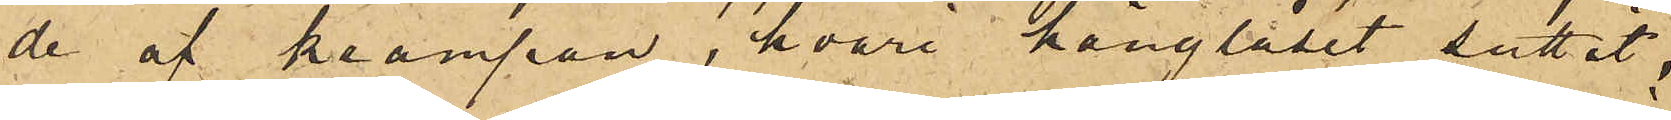de af krampan, hvari hänglåset suttit,
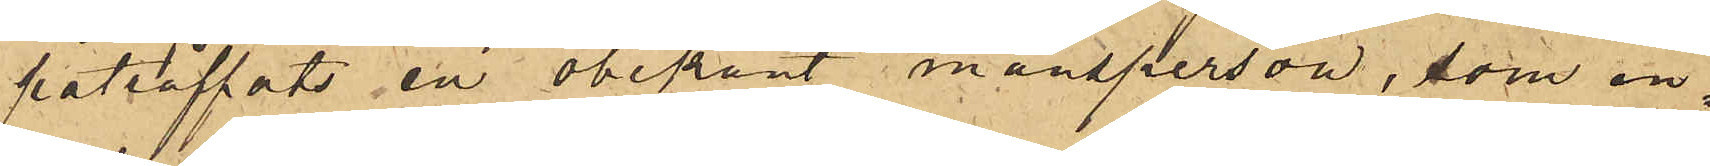påträffats en obekant mansperson, som in¬
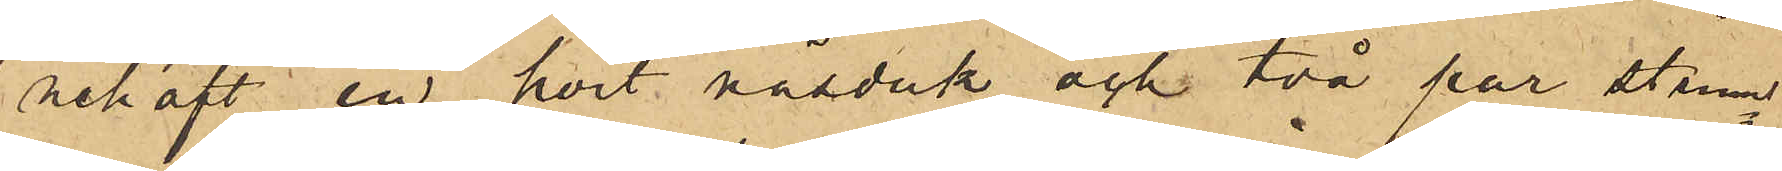nehaft en hvit näsduk och två par strum¬
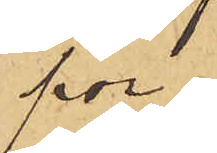por,
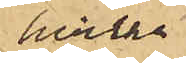hvilka
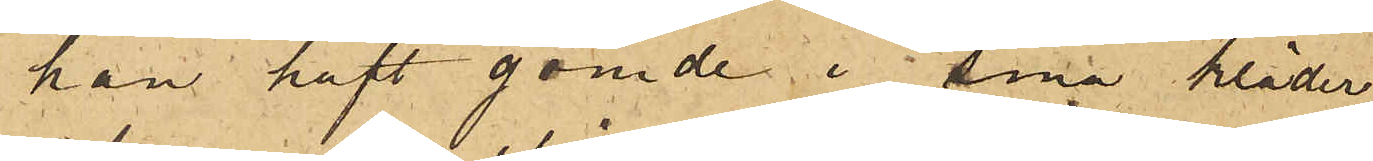han haft gömde i sina kläder,
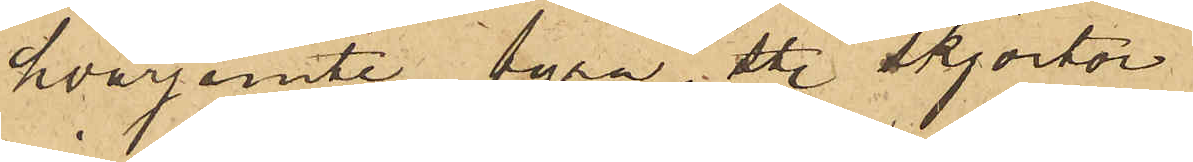hvarjemte fyra sty. skjortor
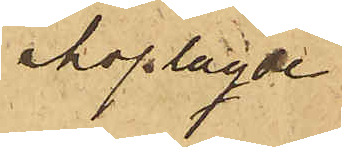ihoplagde
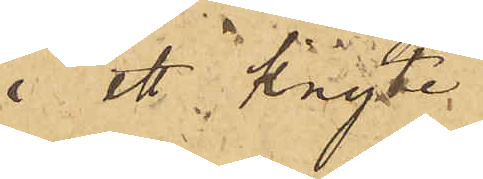i ett knyte
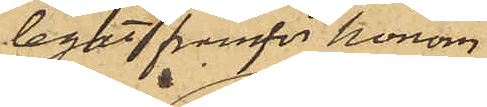legat framför honom,
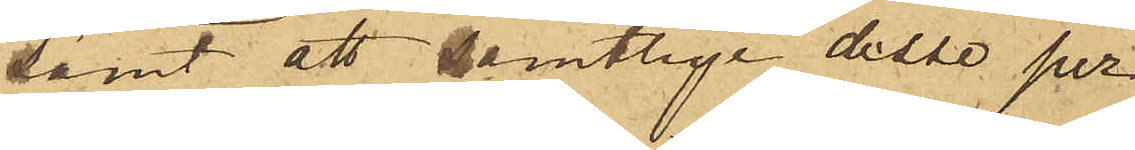samt att samtlige desse per¬
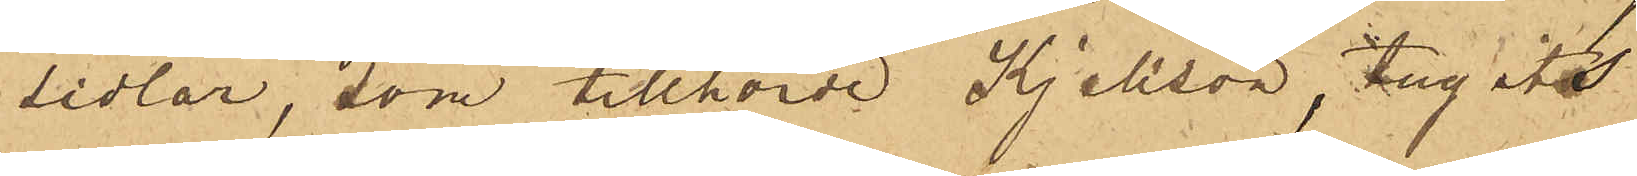sedlar, som tillhörde Kjellson, tagits
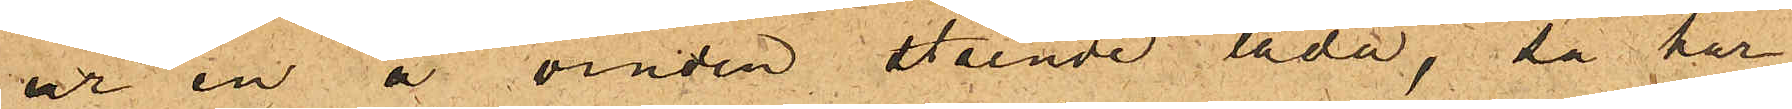ur en å vinden stående låda, så har
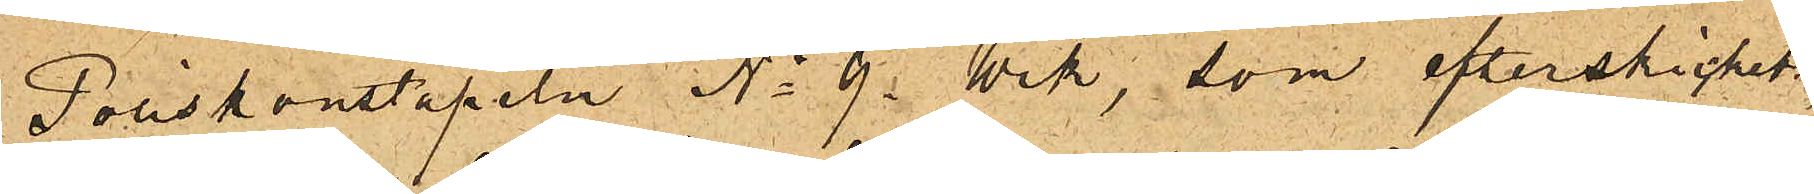Poliskonstapeln No 9 Wik, som efterskickats,
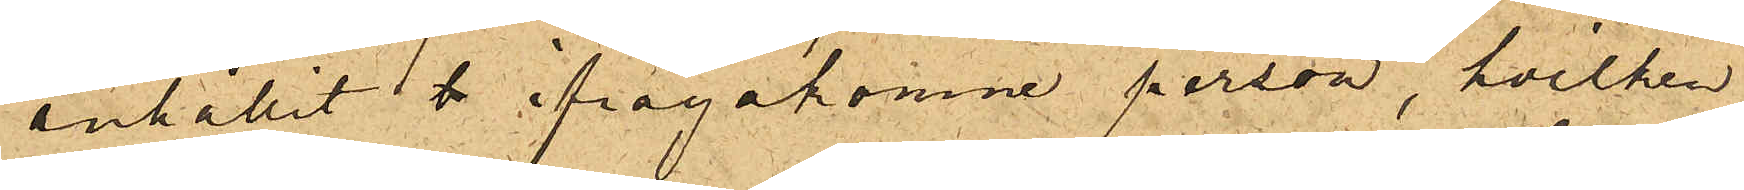anhållit å ifrågakomne person, hvilken
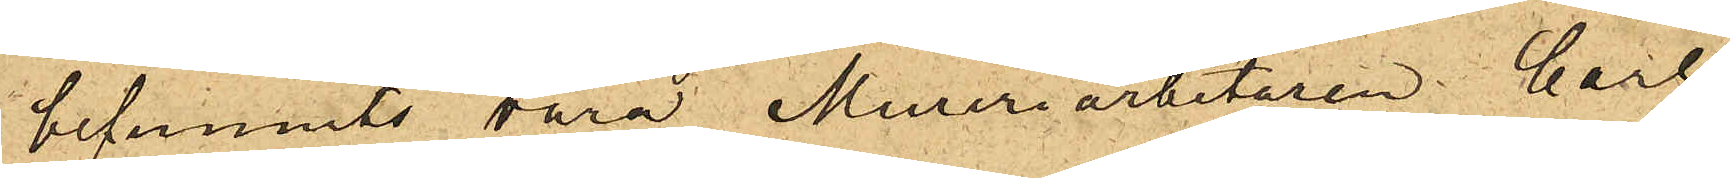befunnits vara Mureriarbetaren Carl
